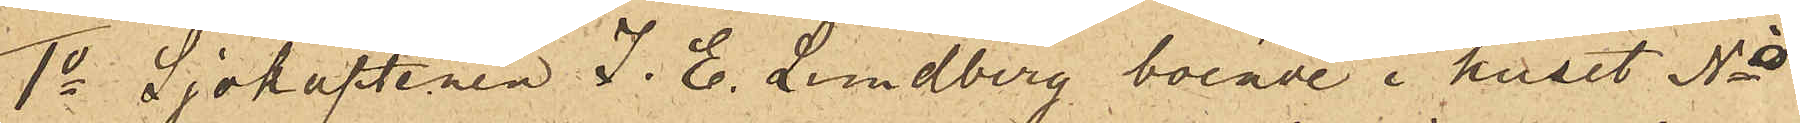1o Sjökaptenen J. E. Lundberg, boende i huset No 
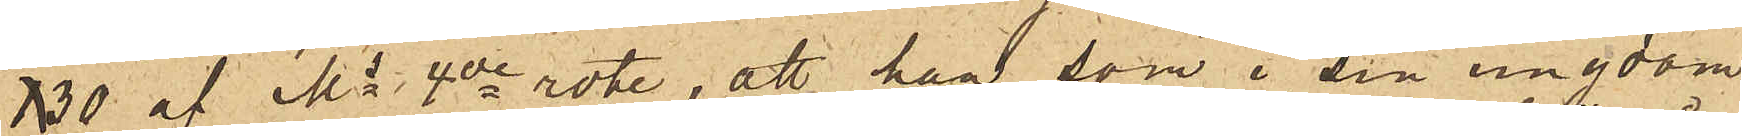30 af Ms 4de rote, att han, som i sin ungdom
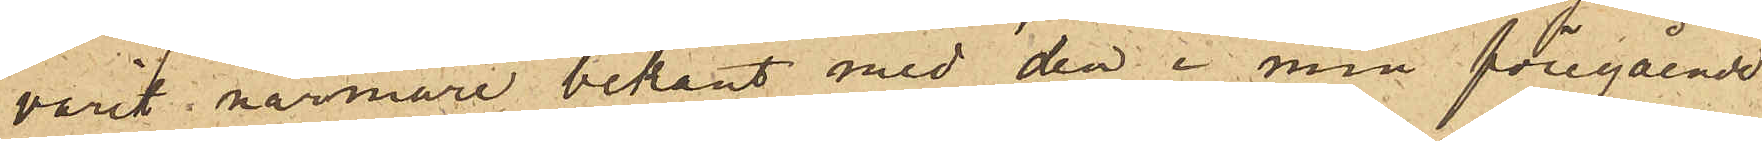varit närmare bekant med den i min föregående
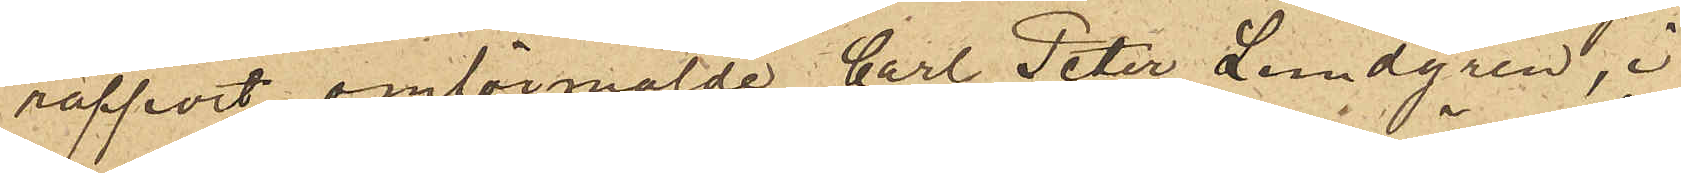rapport omförmälde Carl Peter Lundgren, i
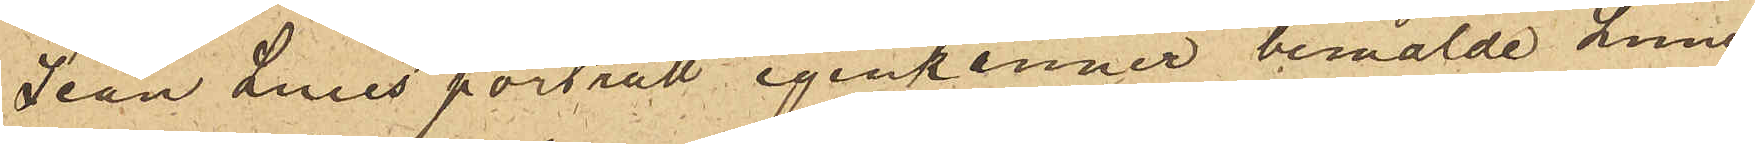Jean Luies porträtt igenkänner bemälde Lund¬
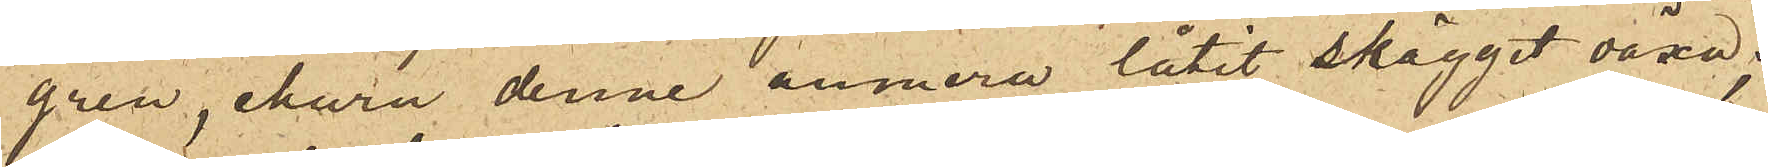gren, ehuru denne numera låtit skägget växa;
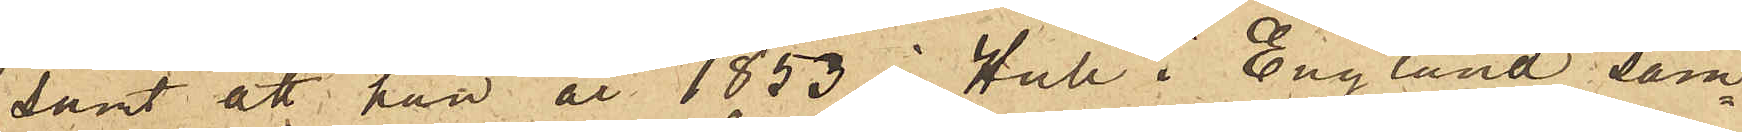samt att han år 1853 i Hull i England sam¬
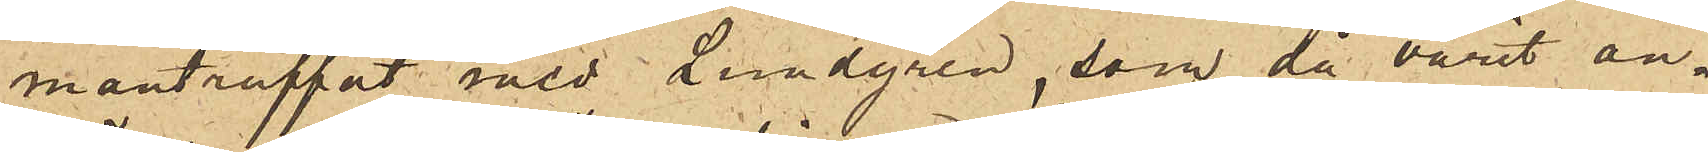manträffat med Lundgren, som då varit an¬
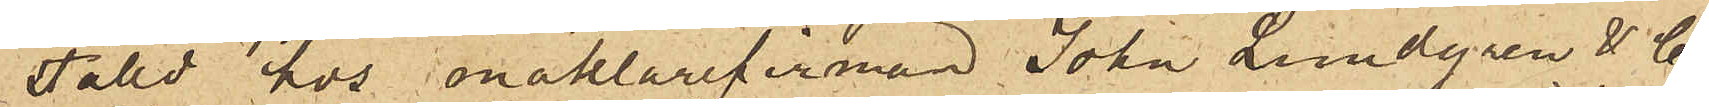ställd hos mäklarefirman John Lundgren & Co
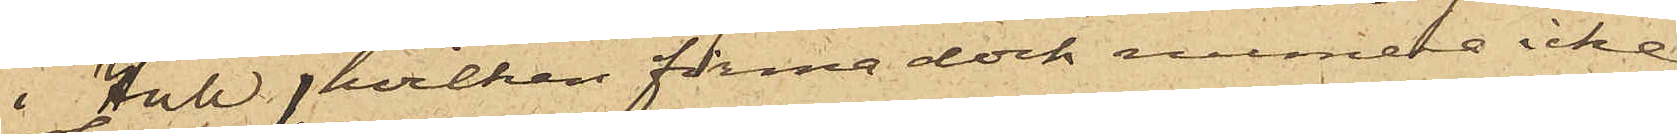i Hull, hvilken firma dock annars icke
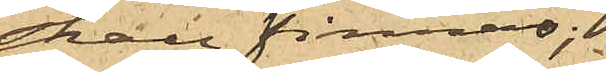skall finnas;
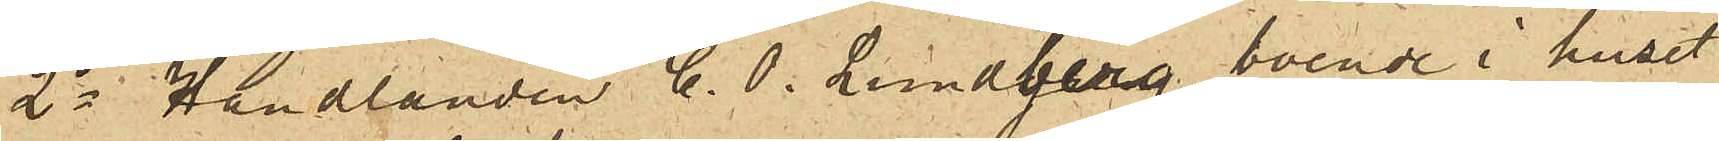2o Handlanden C. O. Lundberg, boende i huset
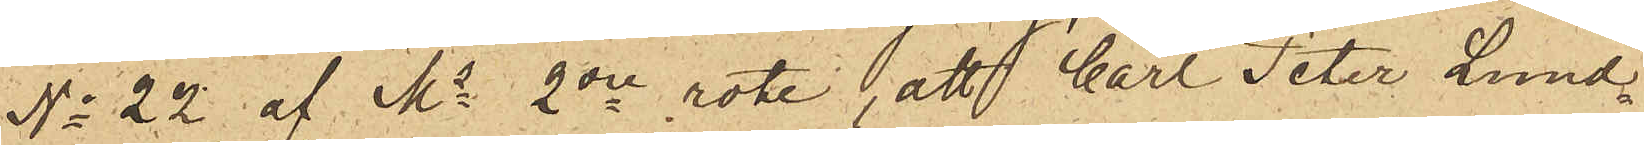No 22 af Ms 2dre rote, att Carl Peter Lund¬
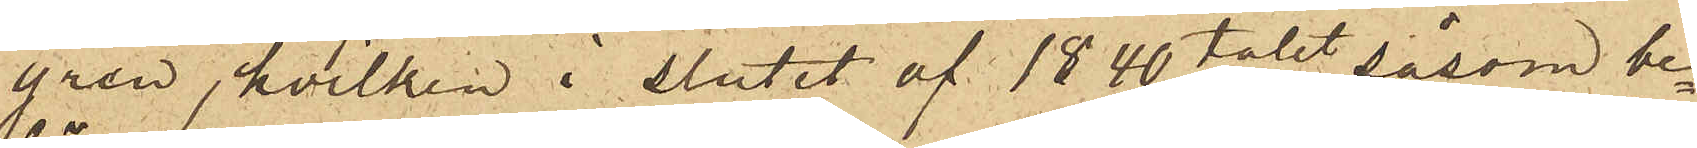gren, hvilken i slutet af 1840 talet såsom be¬
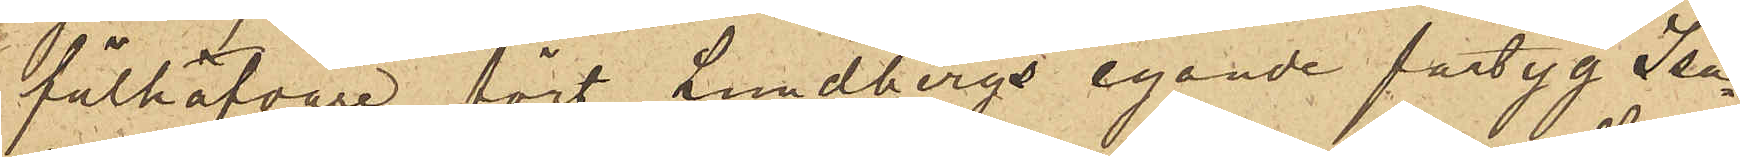fälhafvare fört Lundbergs egande fartyg Isa¬
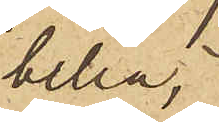bella,
